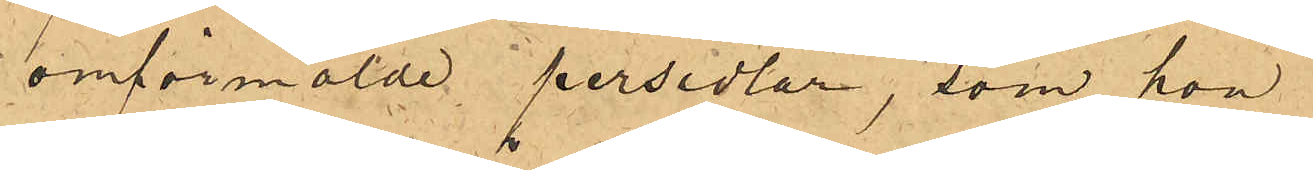omförmälde persedlar, som hon
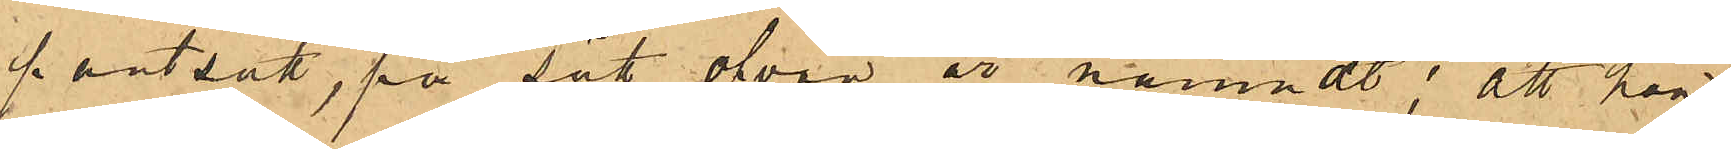pantsatt, på sätt ofvan är nämndt: att hon
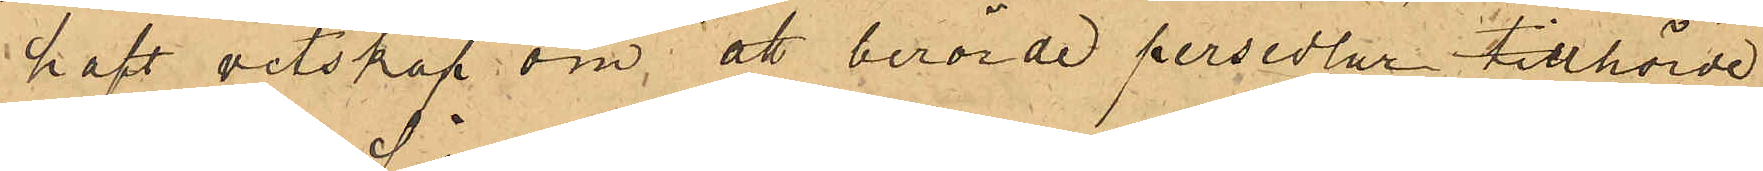haft vetskap om att berörde persedlar tillhörde
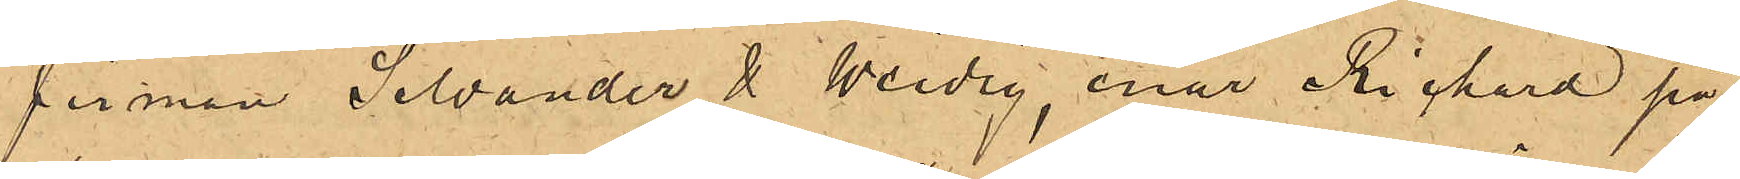firman Silvander & Weidig, enär Richard på
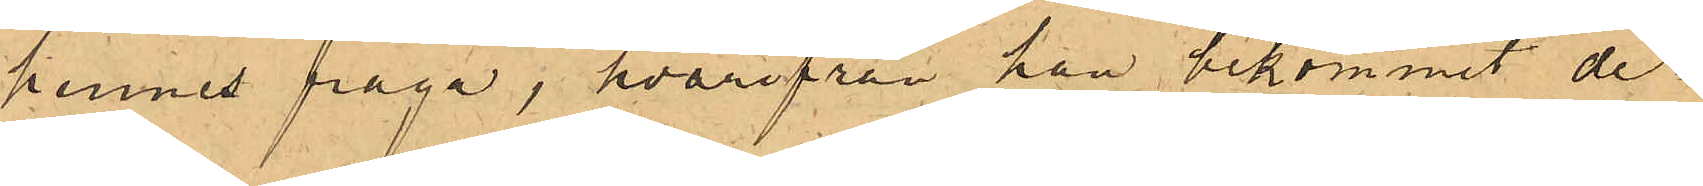hennes fråga, hvarifrån han bekommit de¬
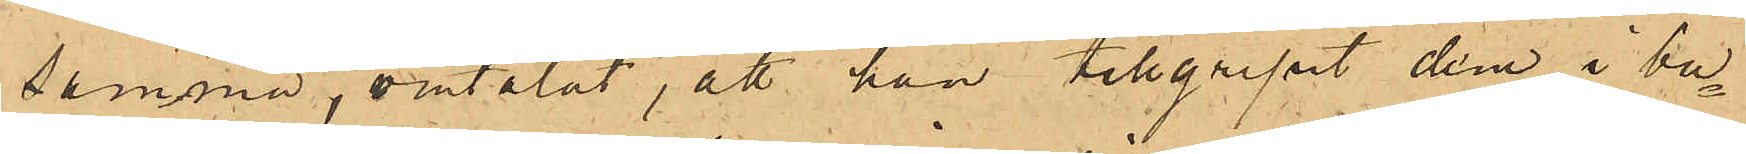samma, omtalat, att han tillgripit dem i bu¬
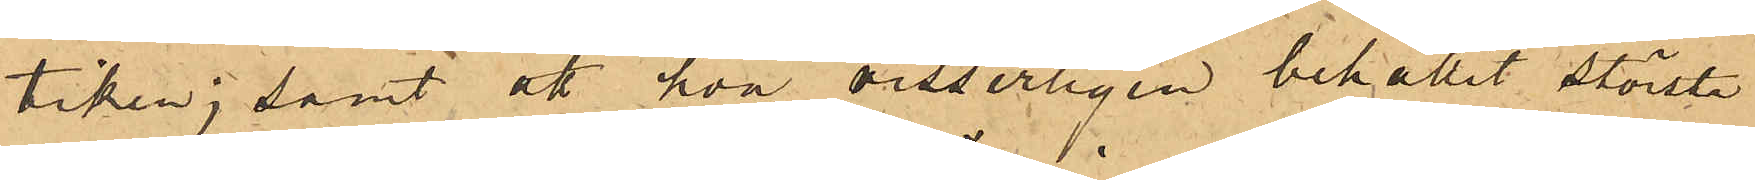tiken; samt att hon visserligen behållit största
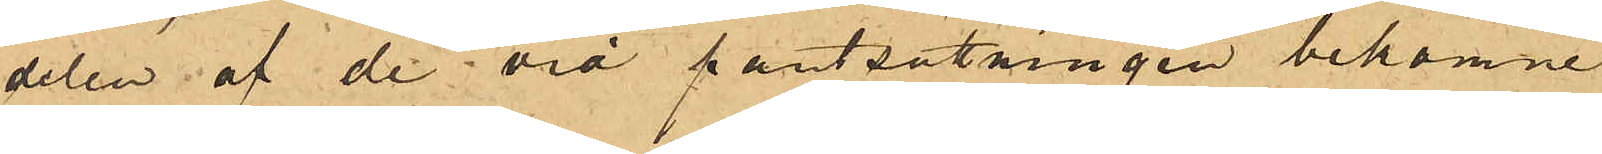delen af de vid pantsättningen bekomne
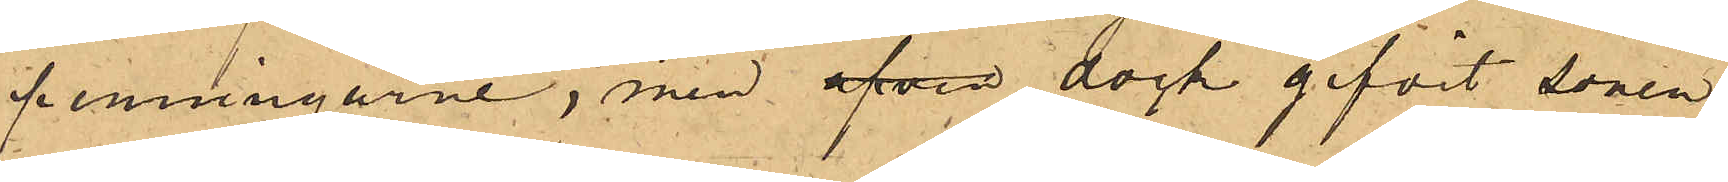penningarne, men äfven dock gifvit sonen
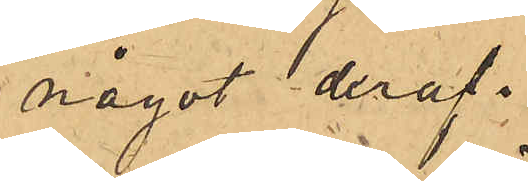något deraf.
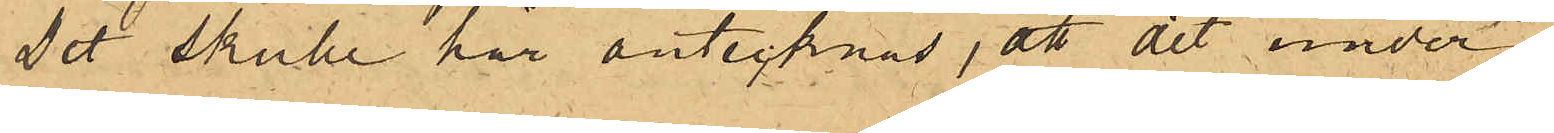Det skulle här antecknas, att det under No
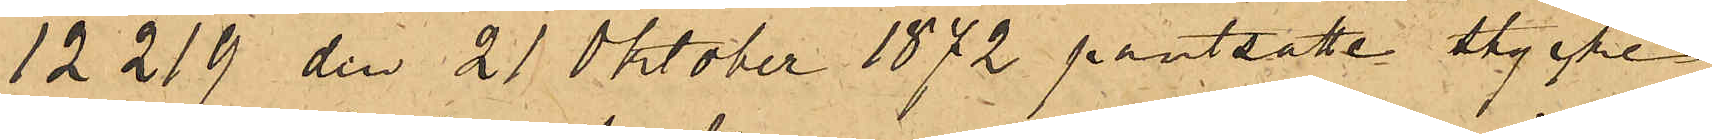12219 den 21 Oktober 1872 pantsatte stycket
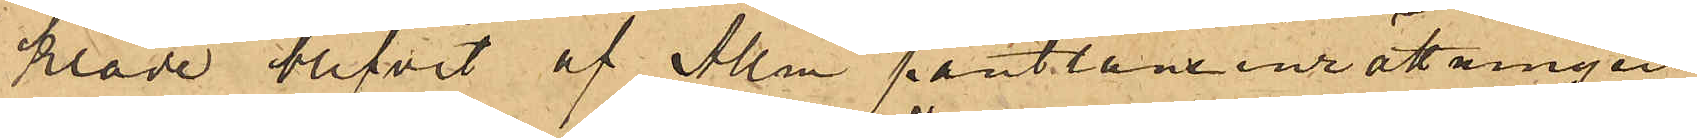kläde blifvit af Allm pantlåneinrättningen
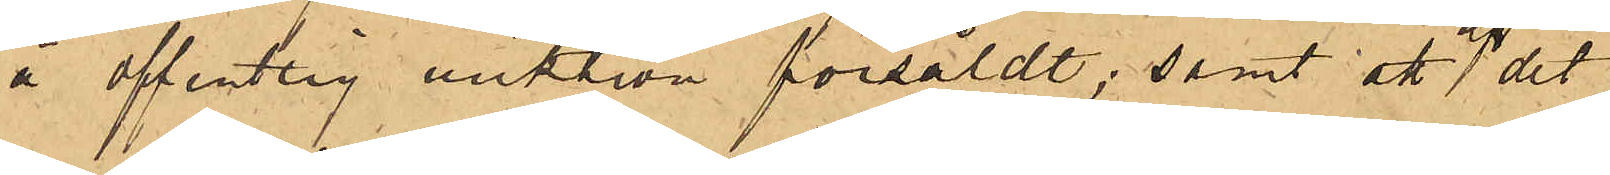å offentlig auktion försåldt; samt att af det
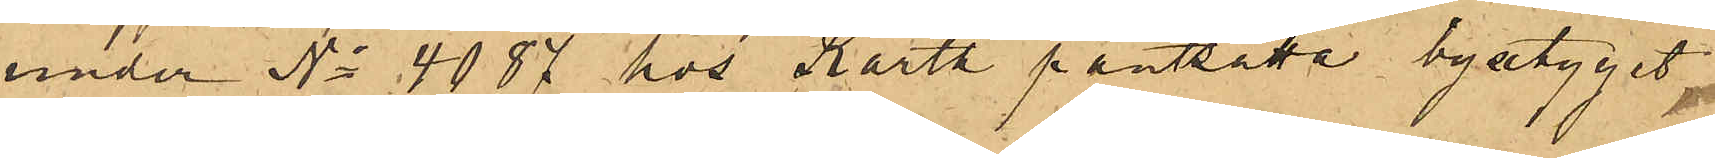under No 4087 hos Karth pantsatte byxtyget
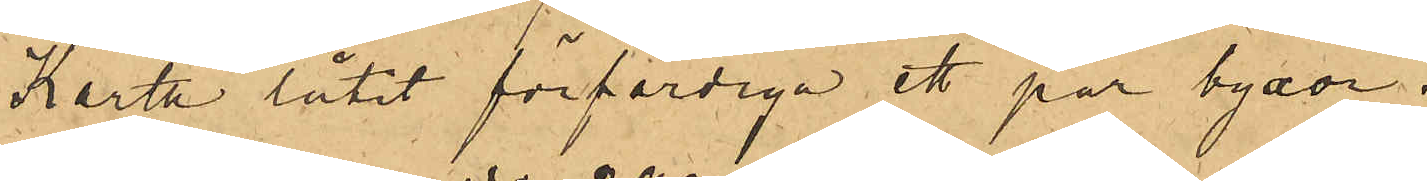Karth låtit förfärdiga ett par byxor.
